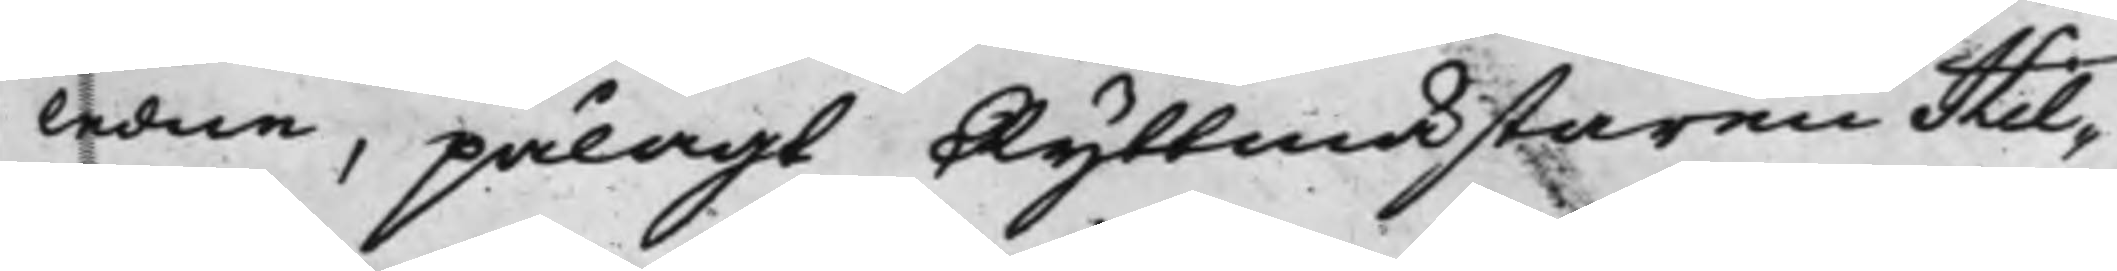ledne, pålagt Ryttmästaren Hil¬
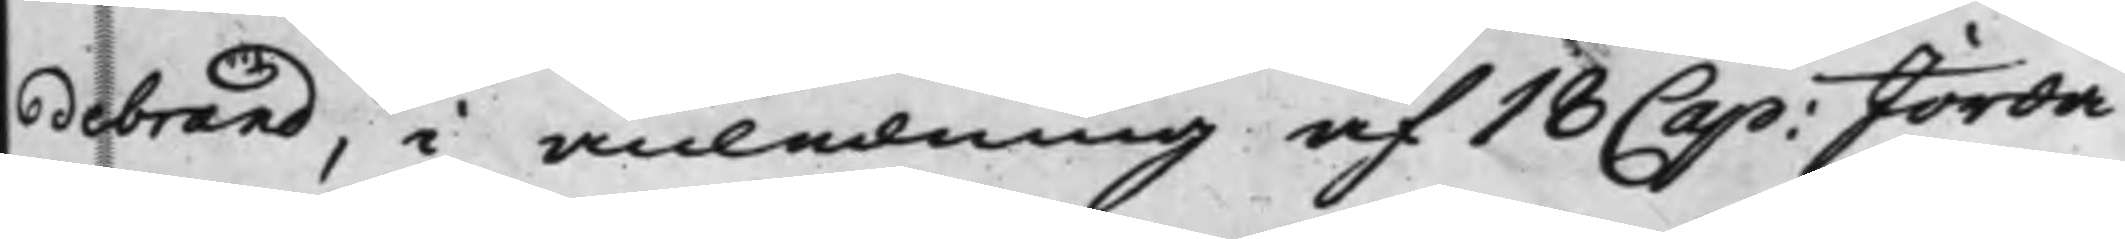debrand, i anledning af 18 Cap: Jorda¬
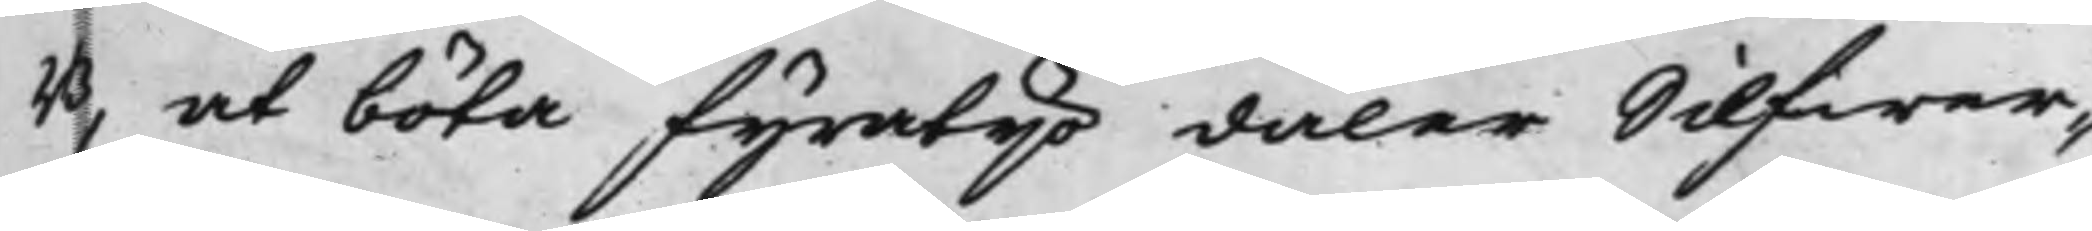B, at böta fyratio daler Silfwer¬
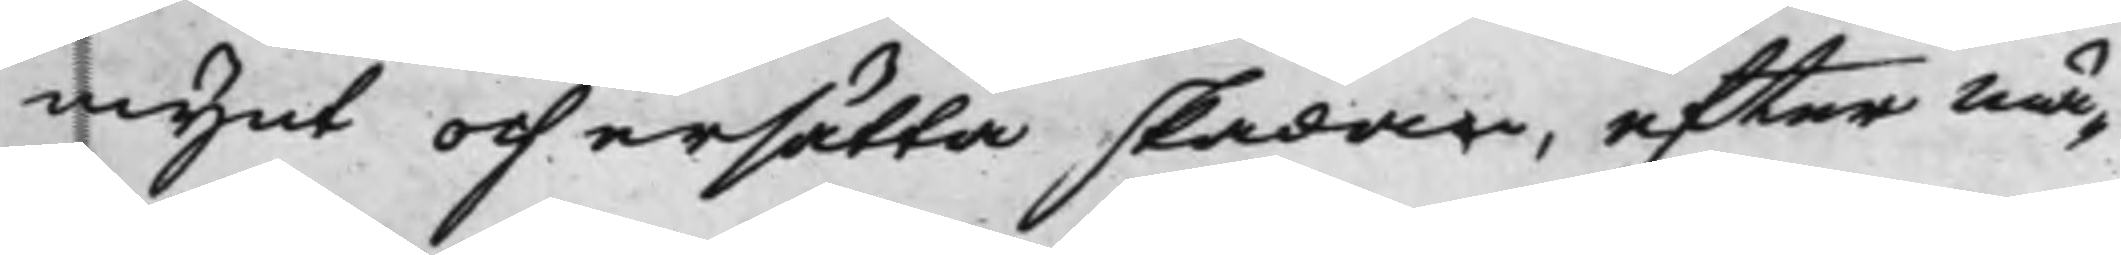mynt och ersätta skadan, efter mä¬
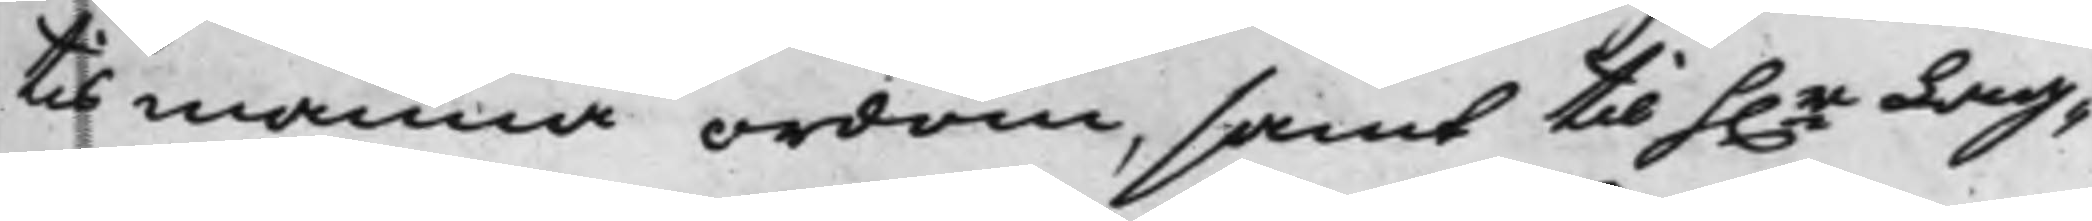tismanna ordom, samt till h.r Lag¬
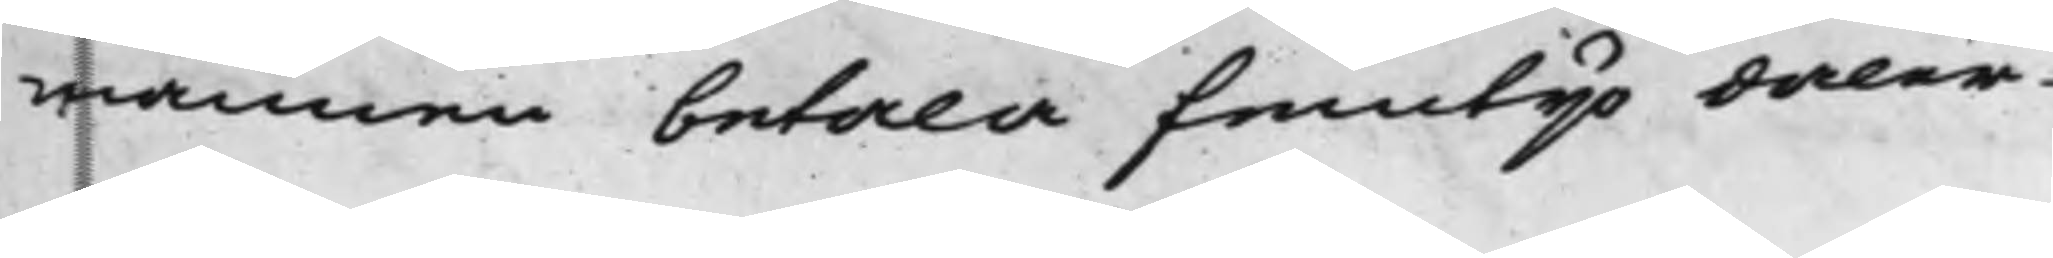mannen betala femtijo daler
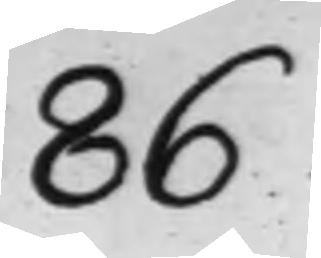86
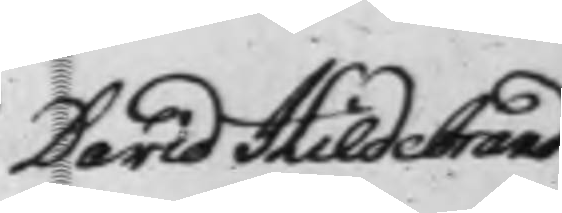David Hildebrand 
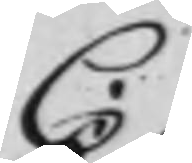C.
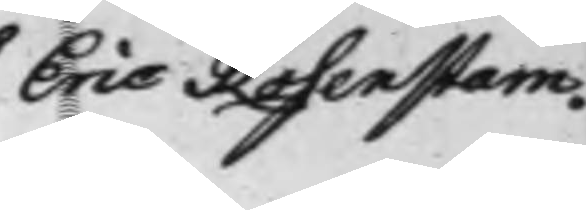Eric Rosenstam.
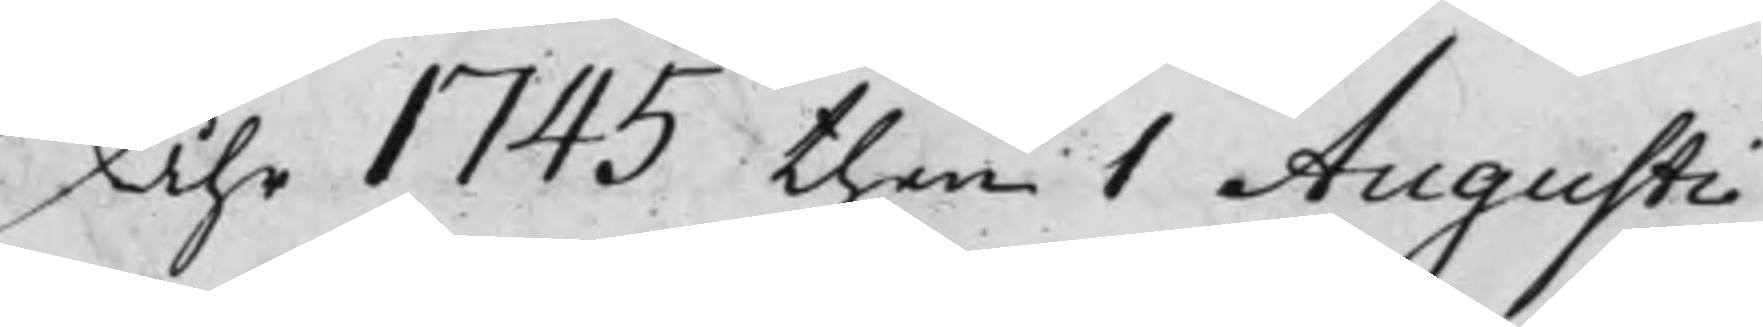Åhr 1745 then 1 Augusti
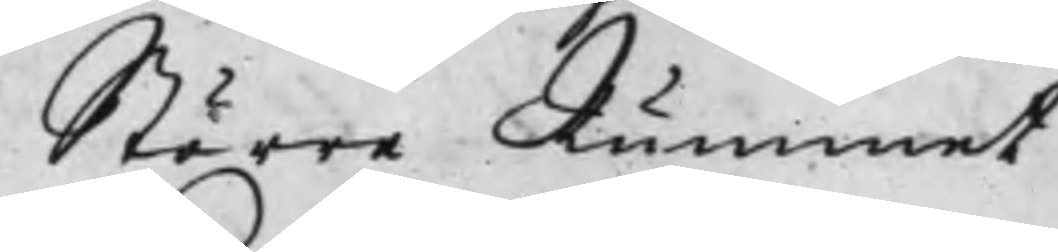Större Rummet
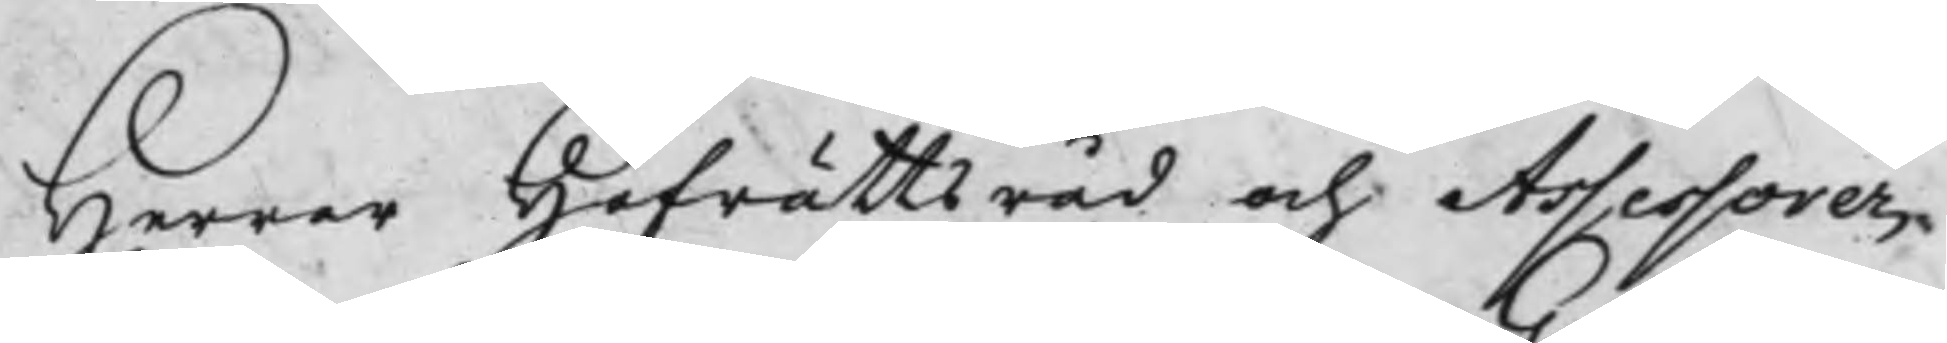Herrar Hofrättsråd och Assessorer,
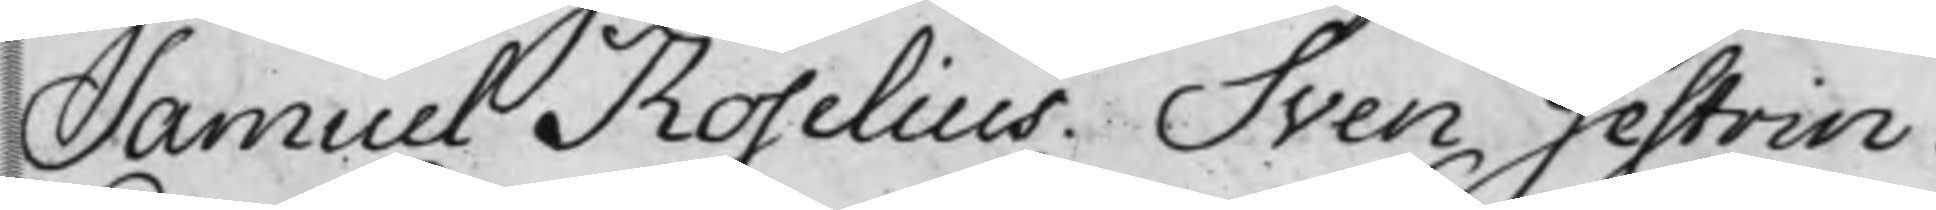Samuel Roselius. Sven Gestrin.
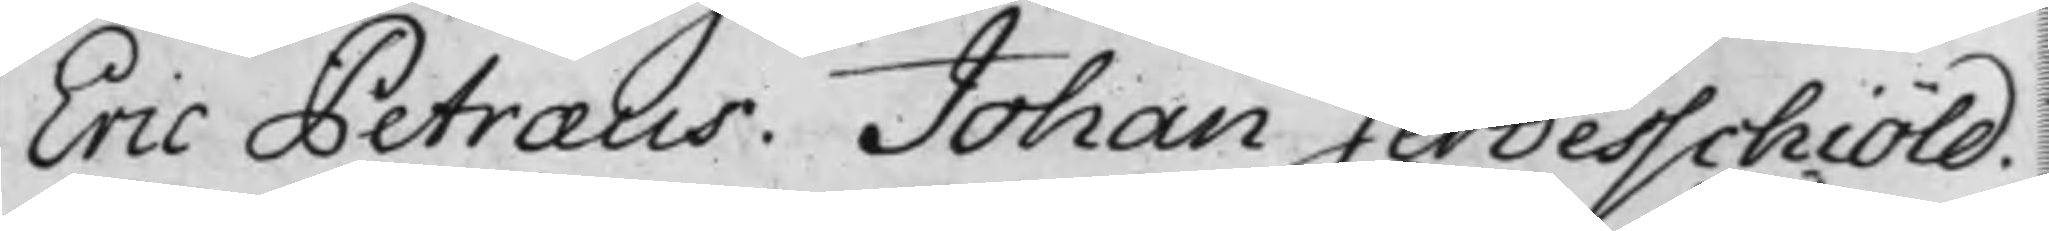Eric Petræus. Johan Gerdesschiöld.
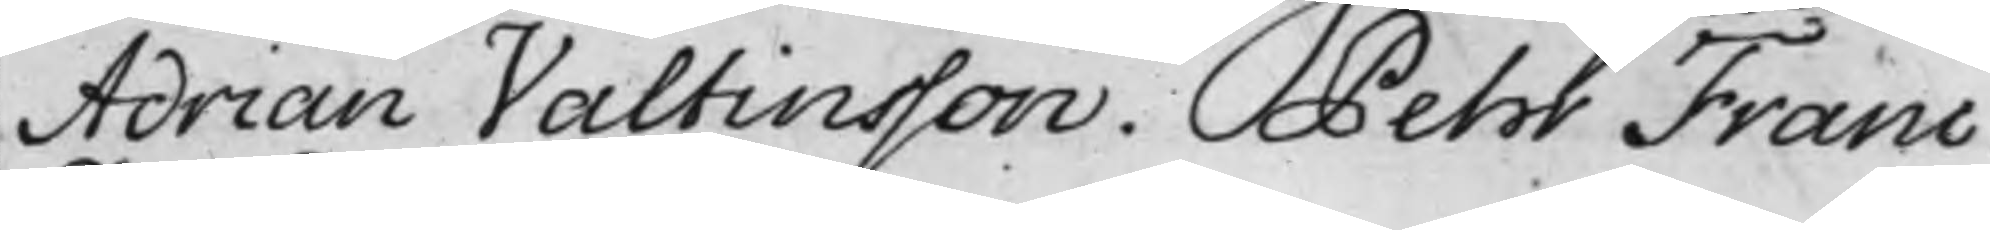Adrian Valtinsson. Pehr Franc.
